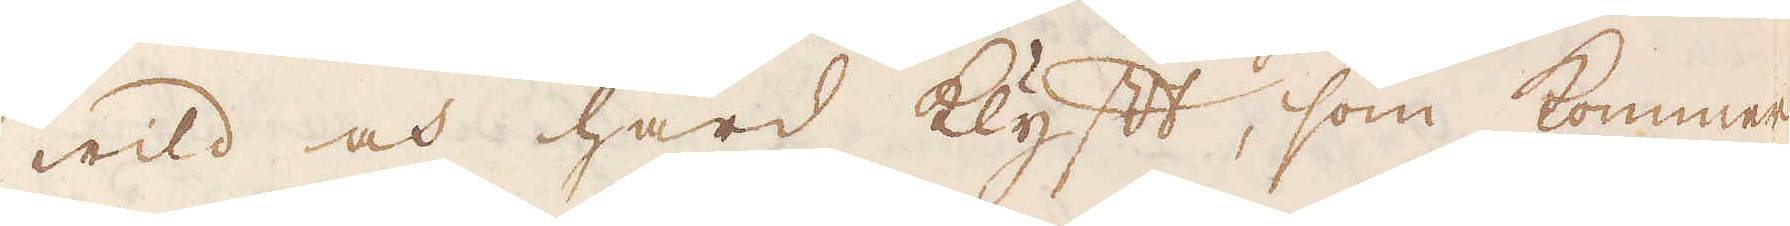wild och hård klyft, som kommer
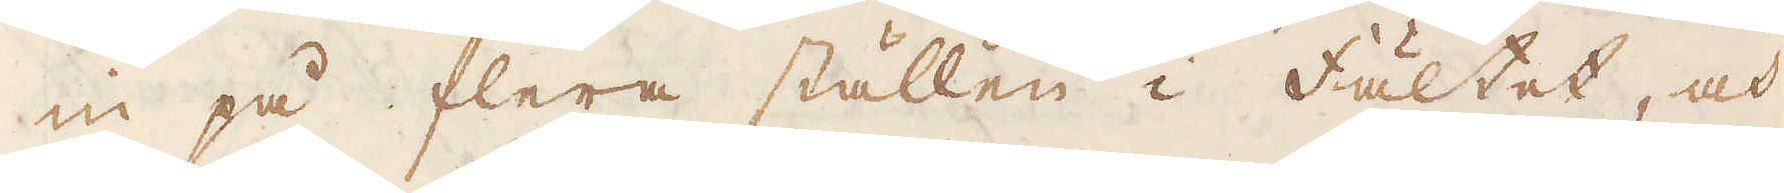in på flera ställen i fältet, och
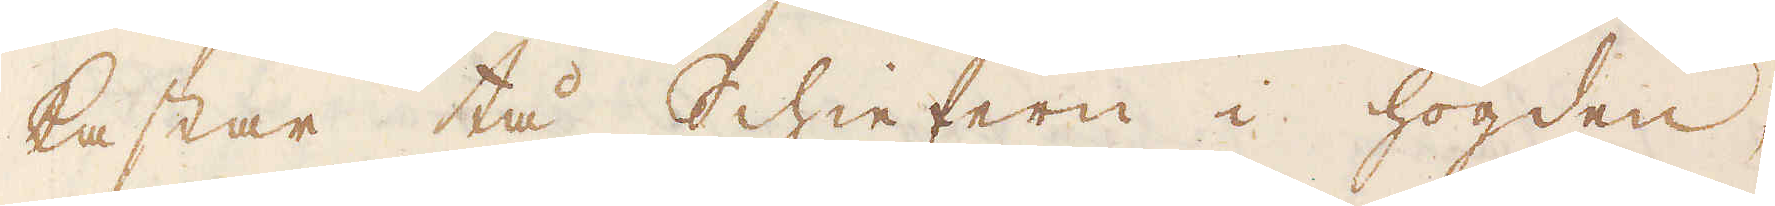kastar, tå Schieffern i högden,
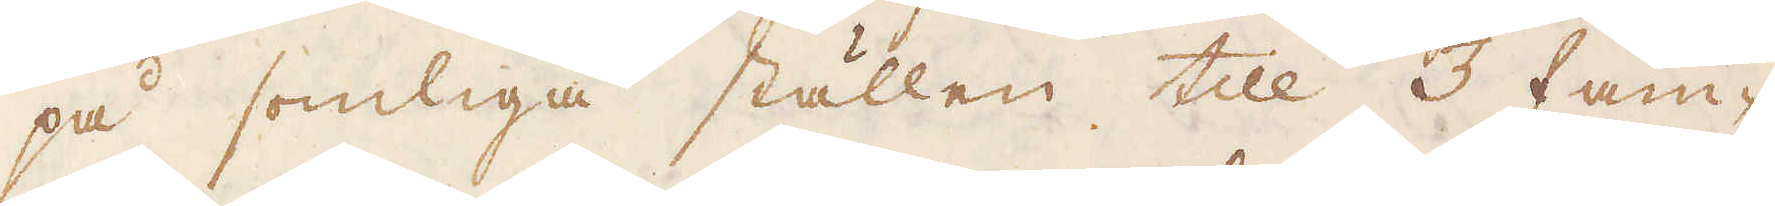på somliga ställen till 3 fam-
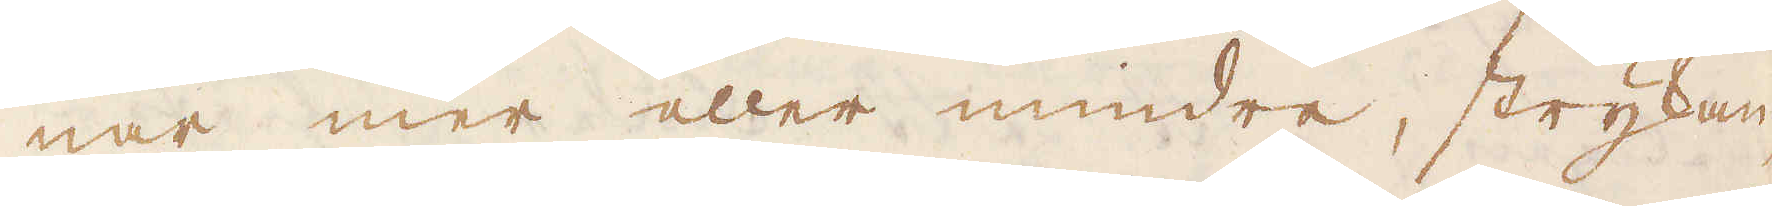nar mer eller mindre, strykan-
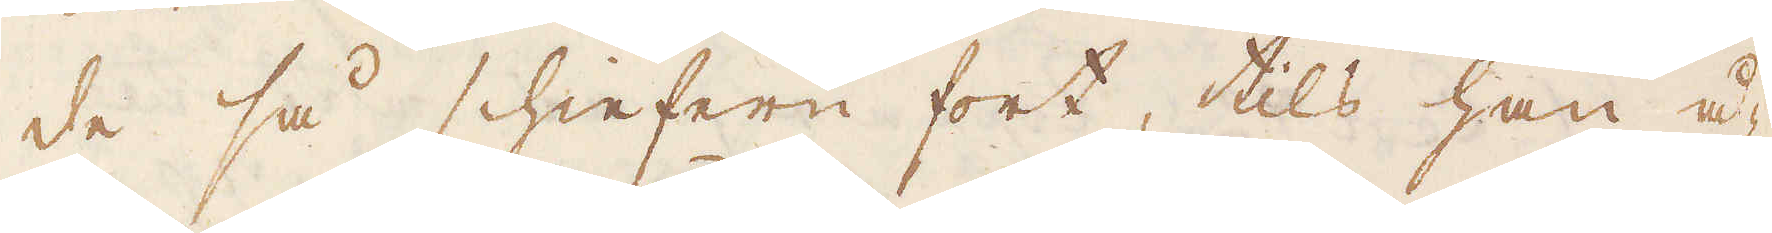de så schieffern fort, tils han å-
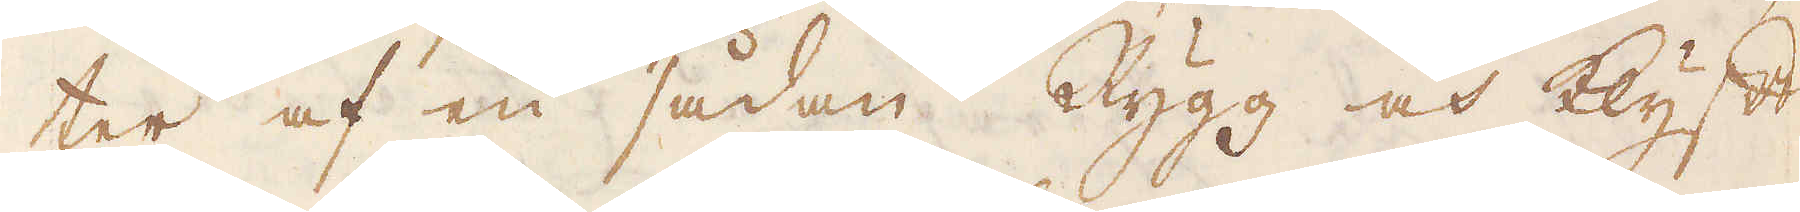ter af en sådan Rygg och Klyft
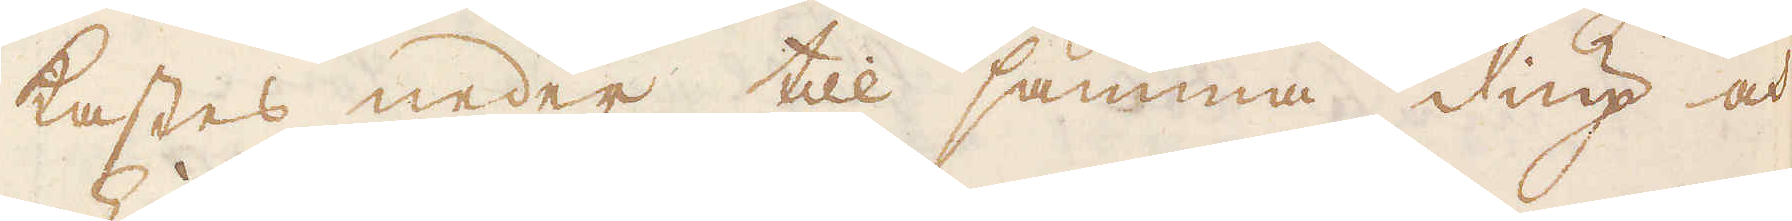kastes neder till samma diup och
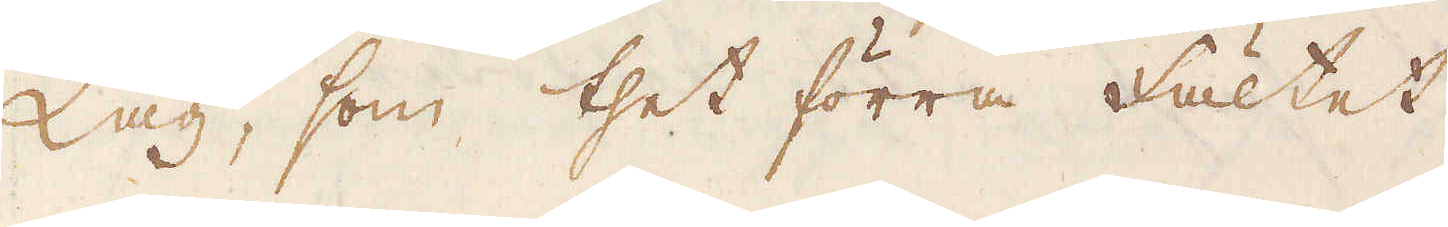Lag, som thet förra fältet
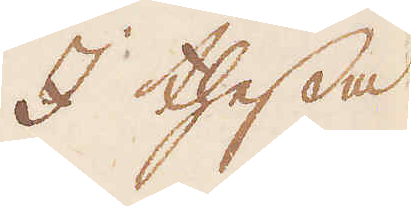I thessa
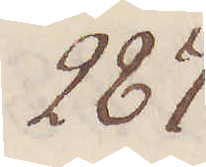287.
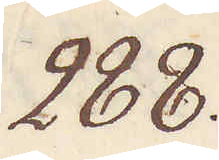288.
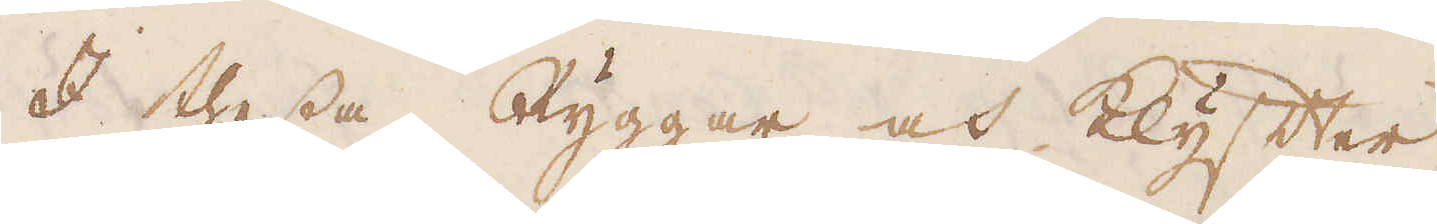I thessa Ryggar och Klyfter
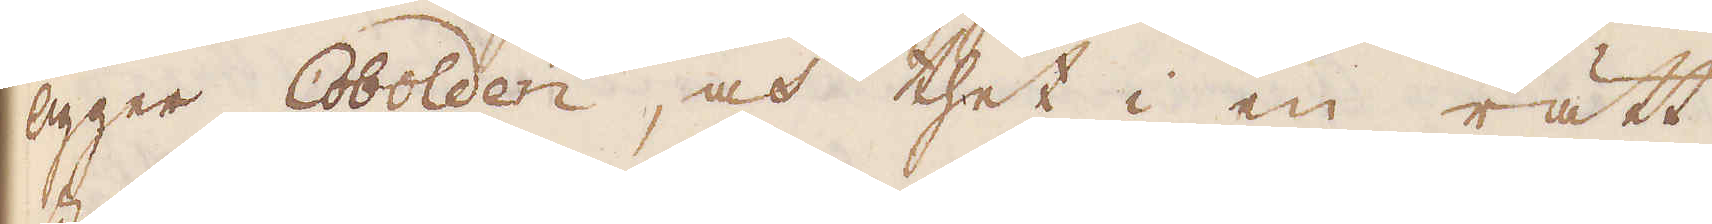ligger Cobolden, och thet i en rätt
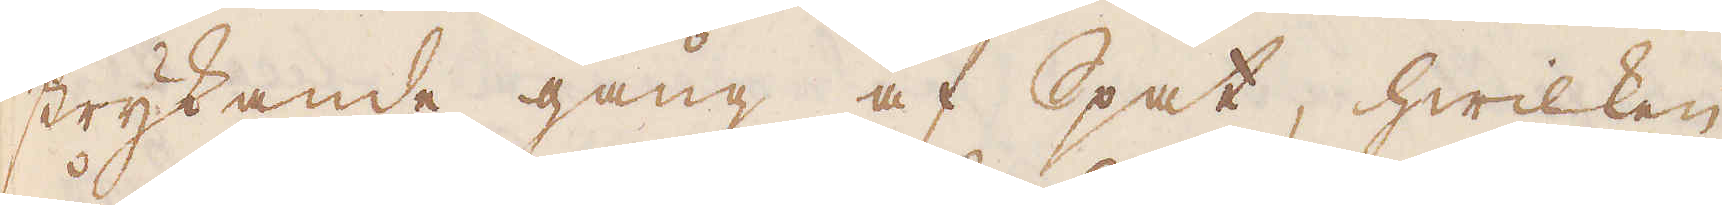strykande gång af Spat, hwilken
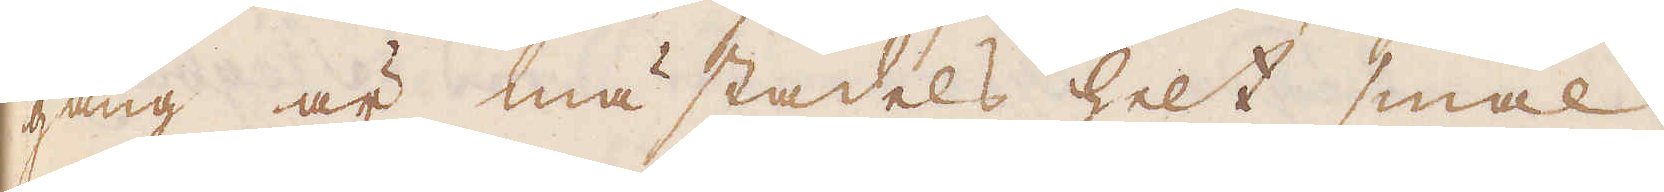gång är mästadels helt smal,
